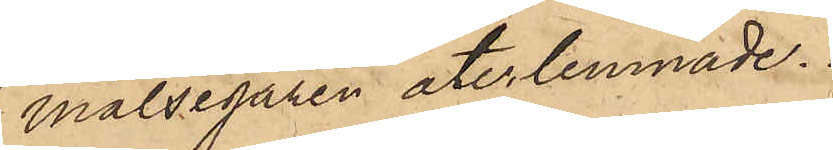målsegaren återlemnade.
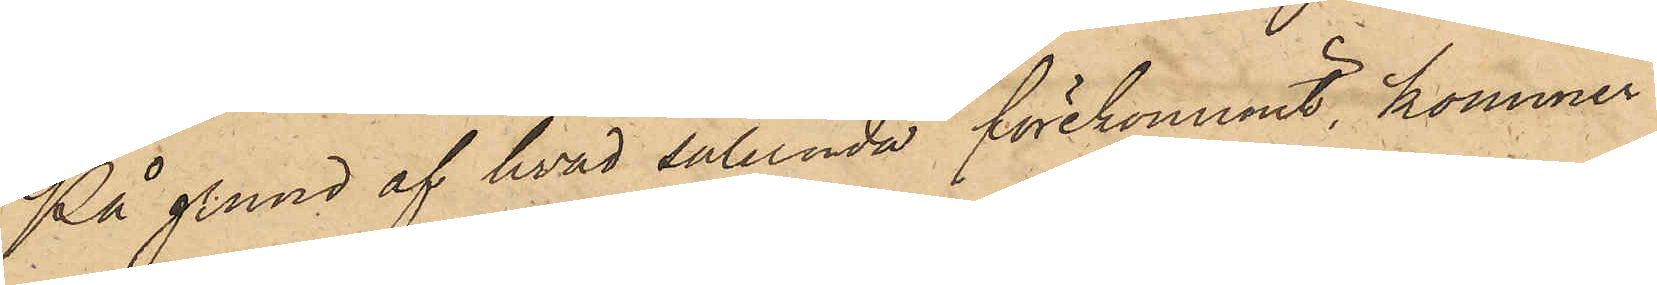På grund af hvad sålunda förekommit, kommer
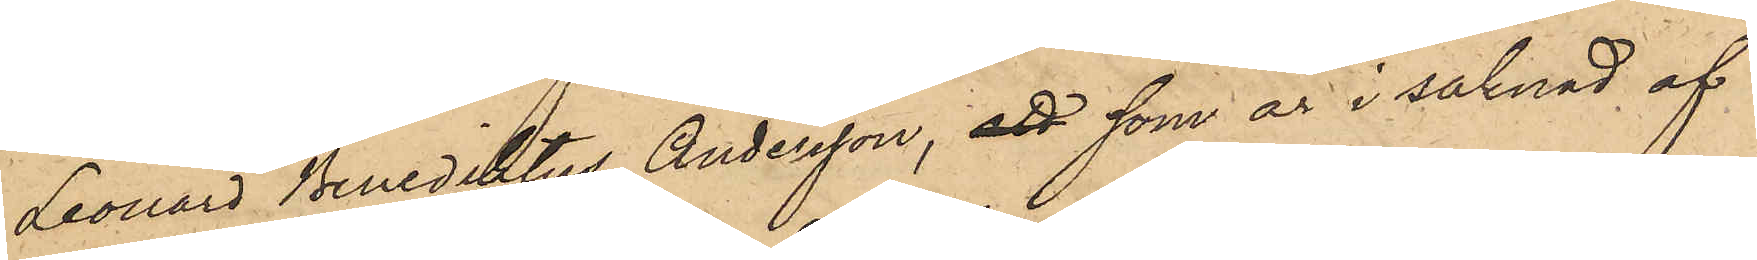Leonard Benediktus Andersson, att som är i saknad af
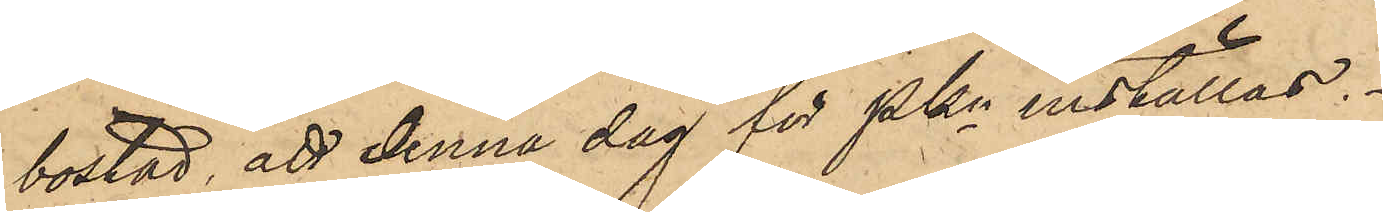bostad, att denna dag för PKn inställas.
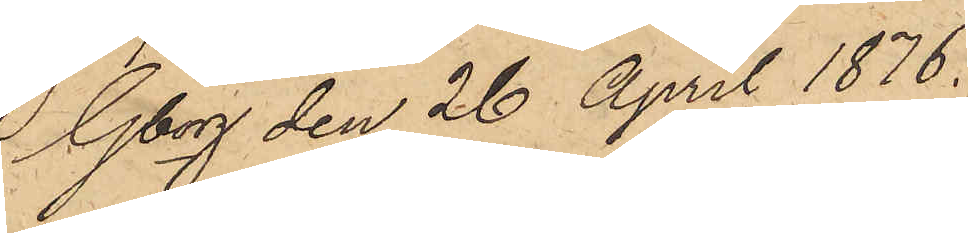Gborg den 26 April 1876.
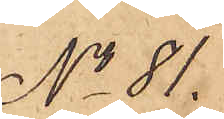No 81.
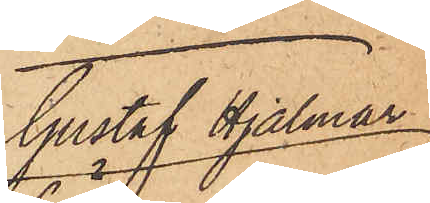Gustaf Hjalmar
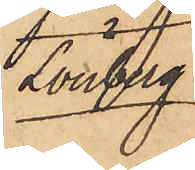Lönberg
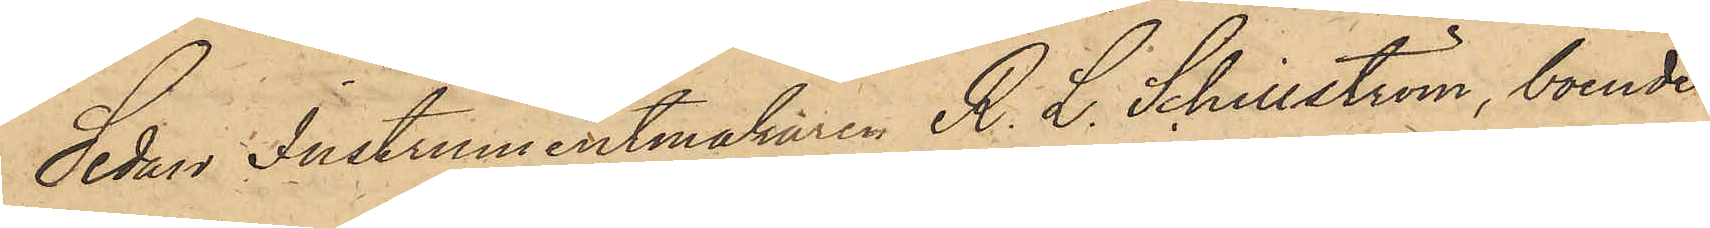Sedan Instrumentmakaren R. L. Schillström, boende 
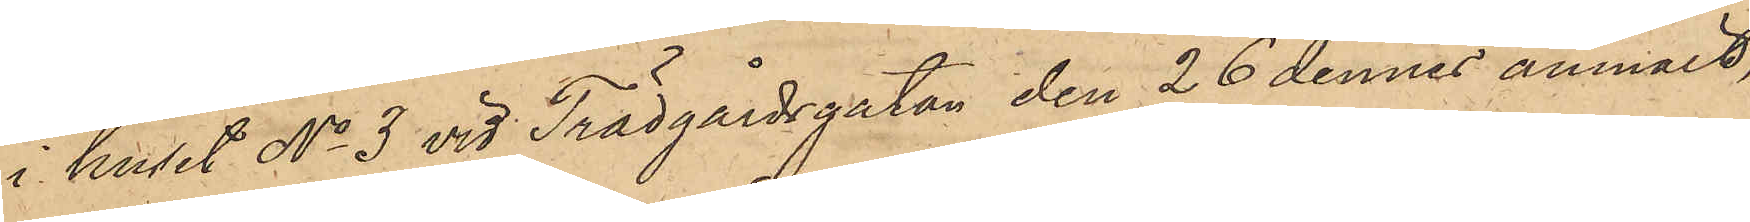i huset No 3 vid Trädgårdsgatan den 26 dennes anmält,
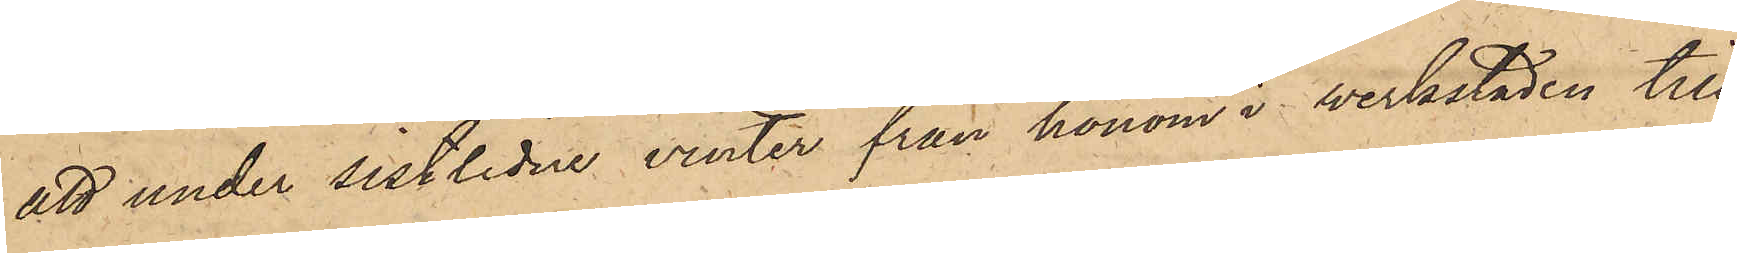att under sistlidne vinter från honom i verkstaden till¬
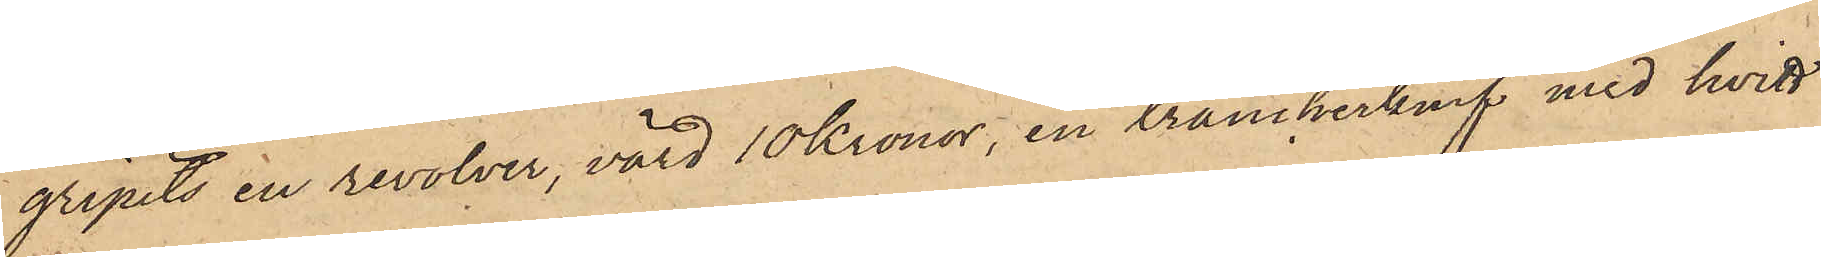gripits en revolver, värd 10 Kronor, en trancherknif med hvitt
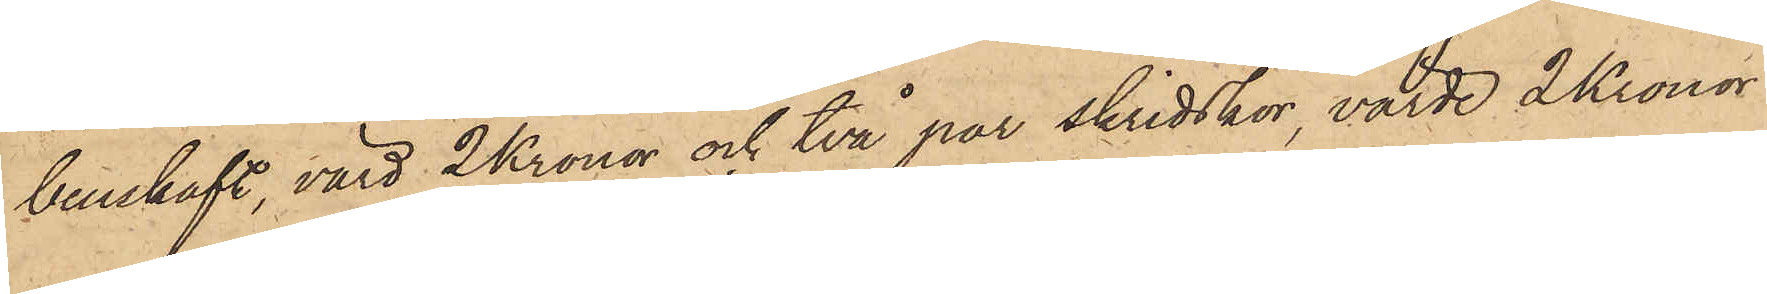benskaft, värd 2 Kronor och två par skridskor, värde 2 Kronor
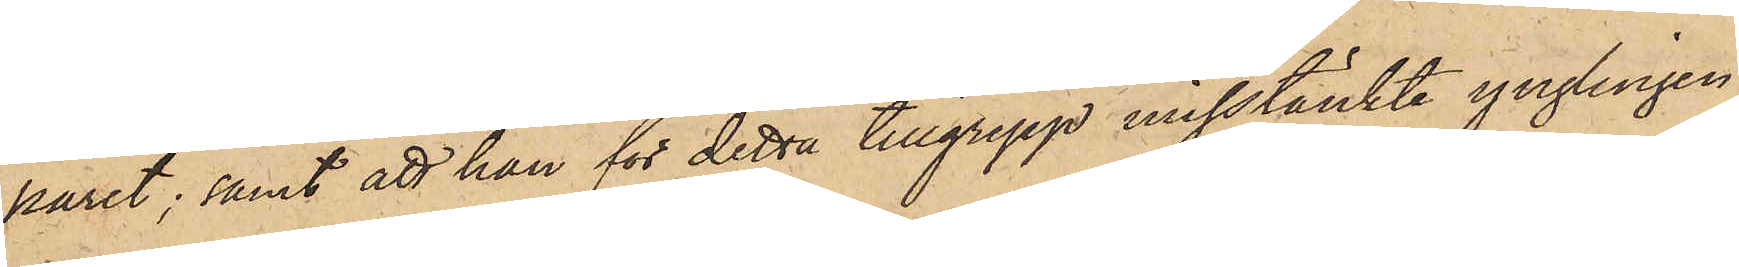paret; samt att han för detta tillgrepp misstänkte ynglingen
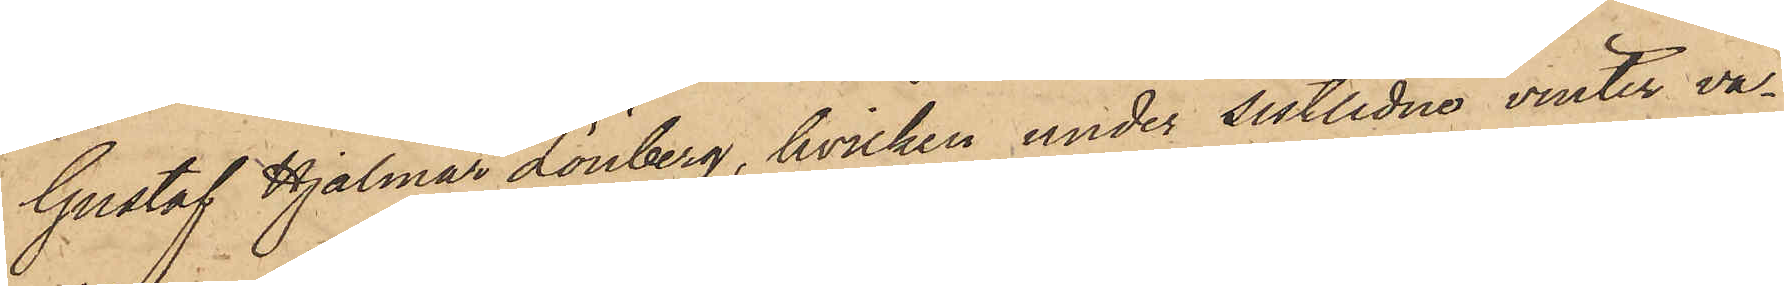Gustaf Hjalmar Lönberg, hvilken under sistlidne vinter va¬
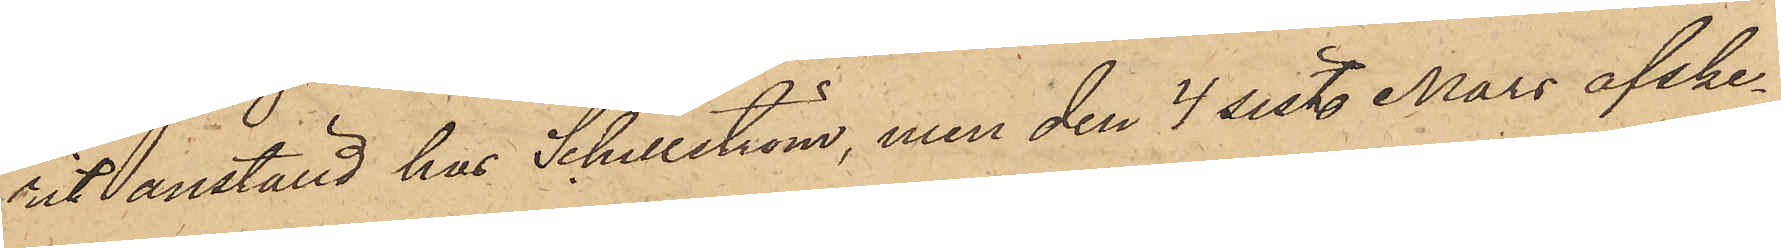rit anställd hos Schillström, men den 4 sist. Mars afske¬
